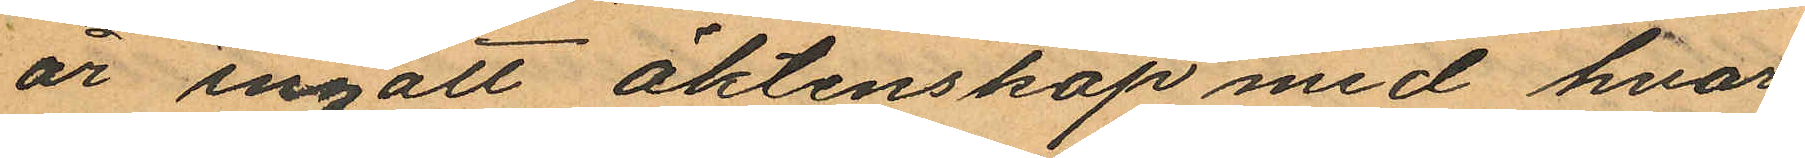år ingått äktenskap med hvar¬
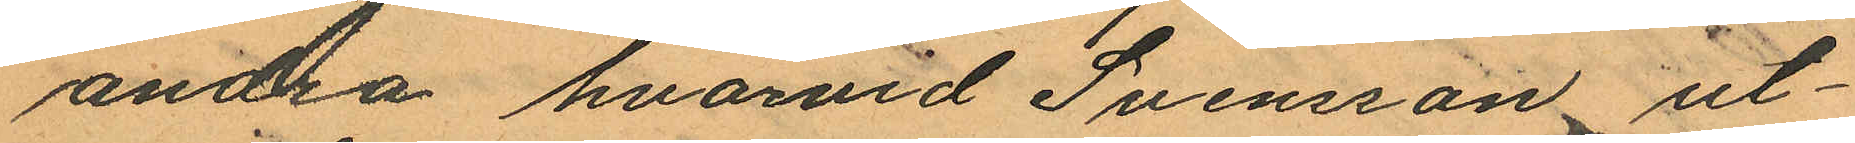andra hvarvid Svensson ut¬
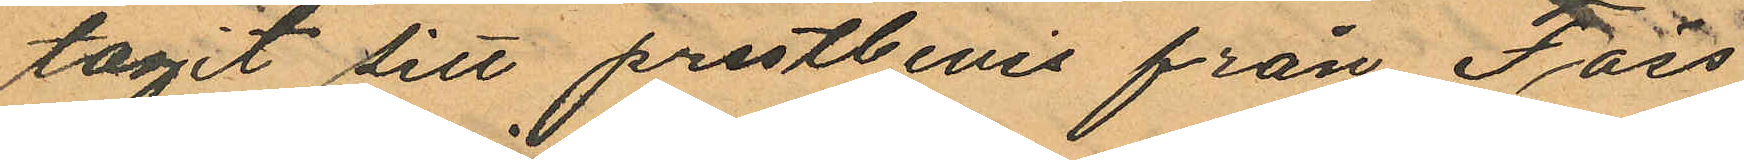tagit sitt prestbevis från Fäss¬
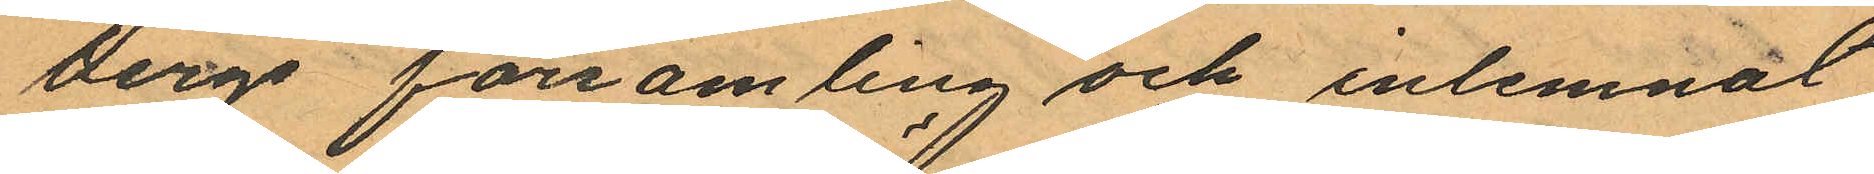bergs församling och inlemnat
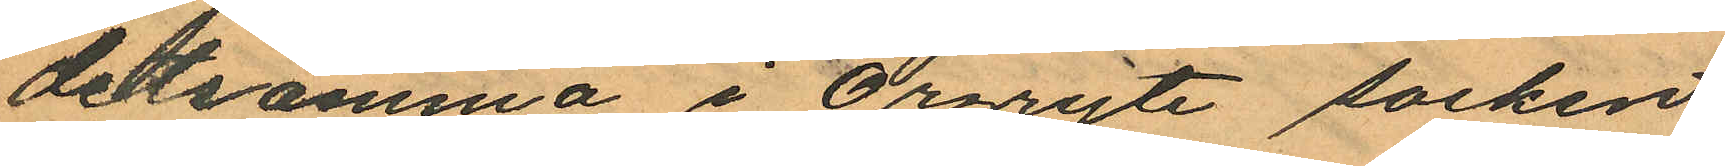detsamma i Örgryte socken,
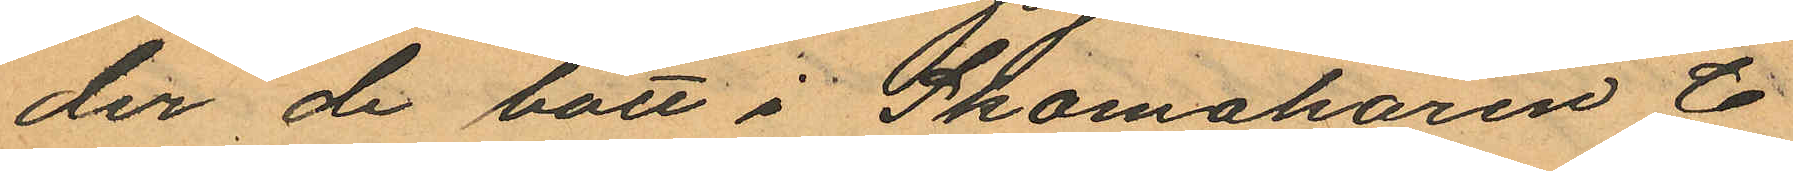der de bott i Skomakaren C
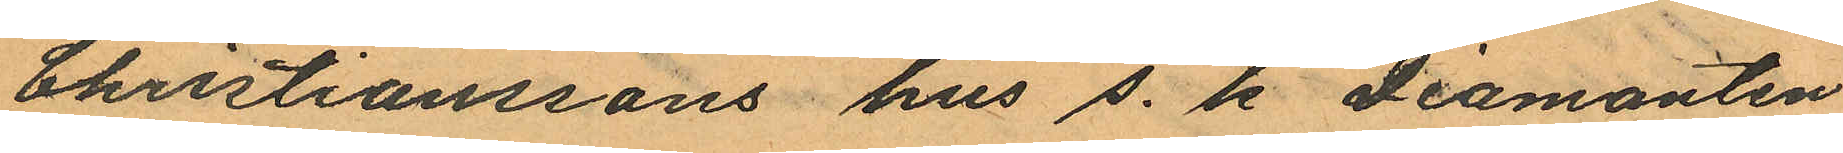Christianssons hus s. k "Diamanten"
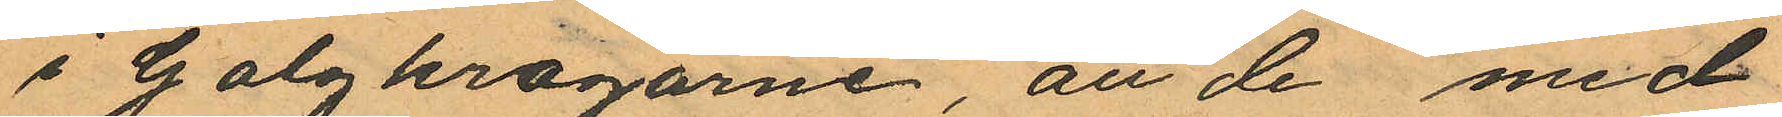i Galgkrogarne att de med
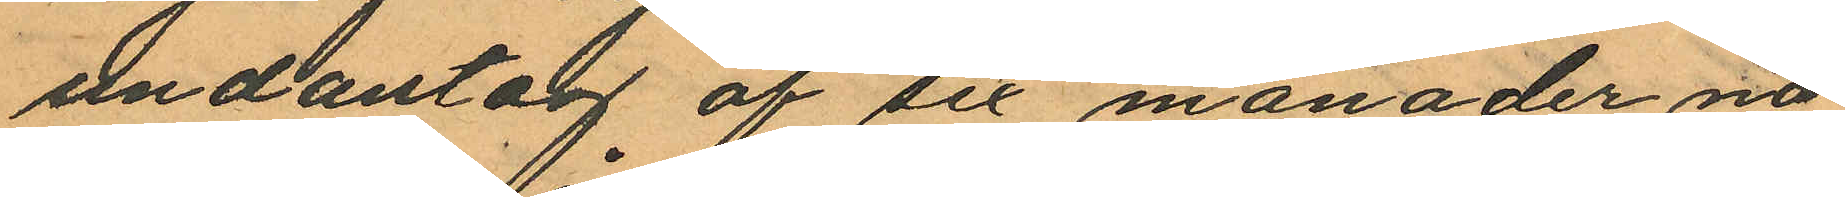undantag af sex månader nå¬
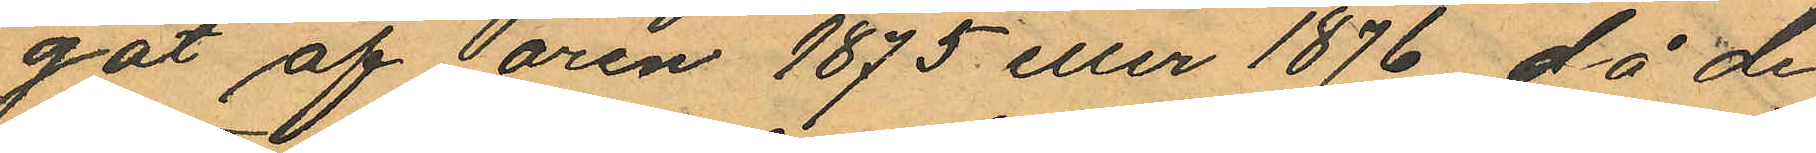got af åren 1875 eller 1876, då de
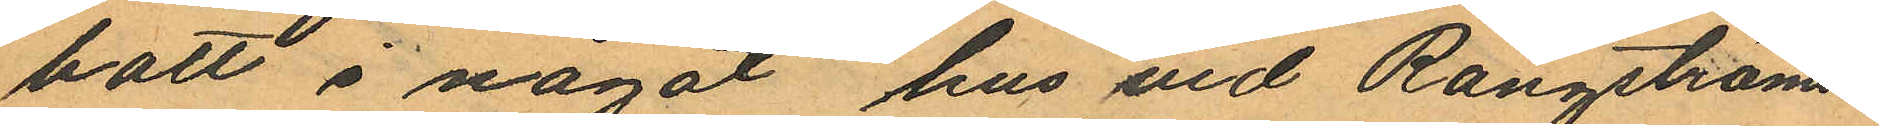bott i något hus vid Rangströms¬
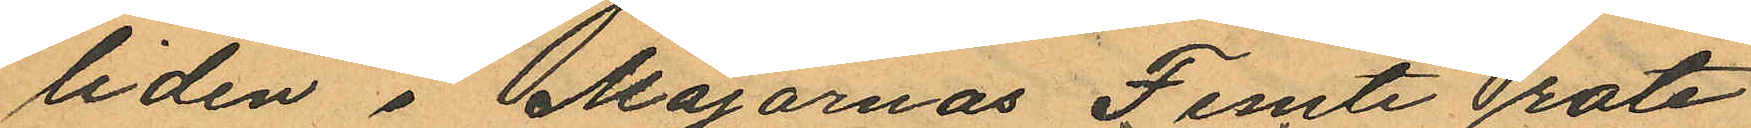liden i Majornas Femte rote
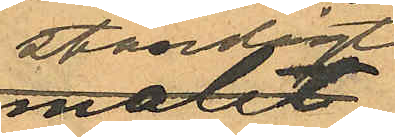ständigt
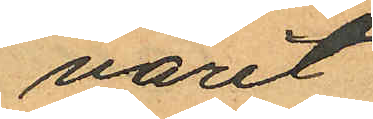varit
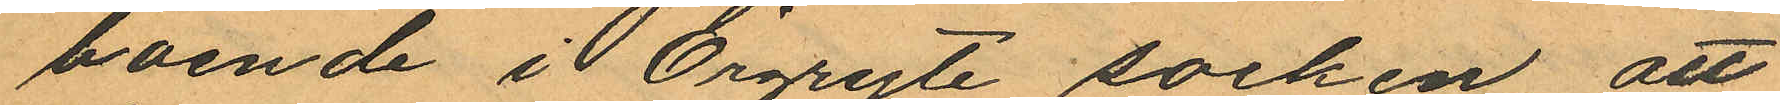boende i Örgryte socken att
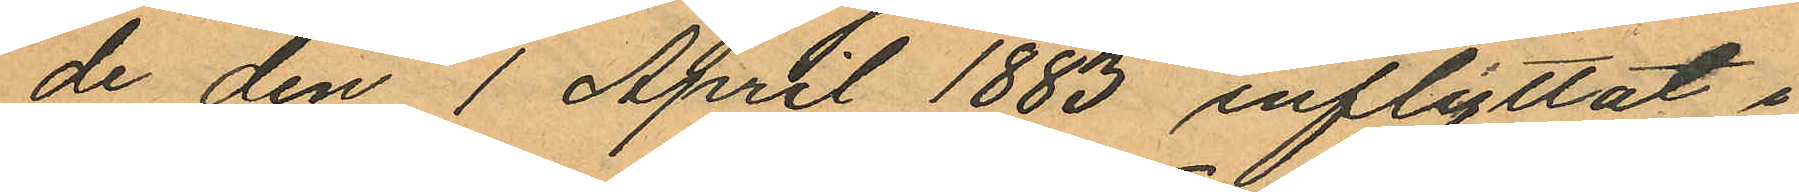de den 1 April 1883 inflyttat i
